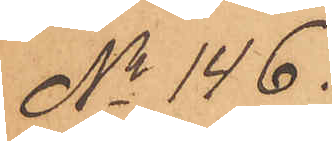No 146.
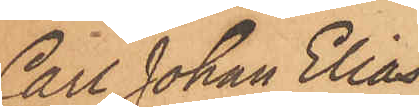Carl Johan Elias¬
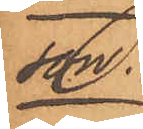son.
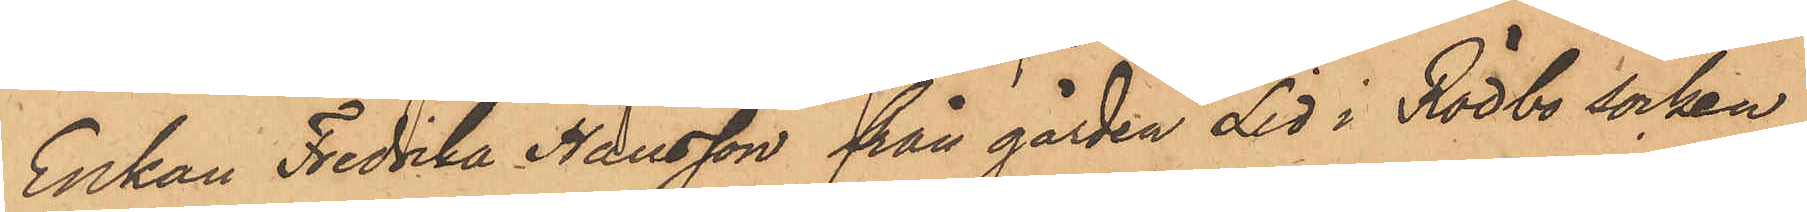Enkan Fredrika Hansson från gården Lid i Rödbo socken
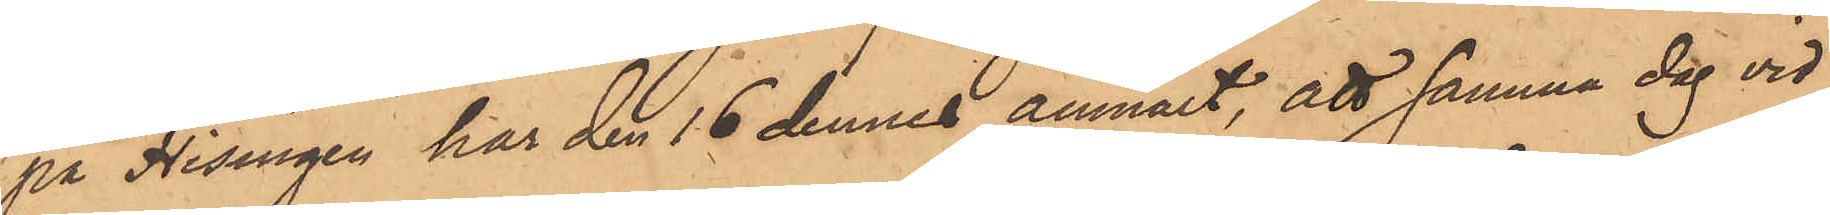på Hisingen har den 16 dennes anmält, att samma dag vid
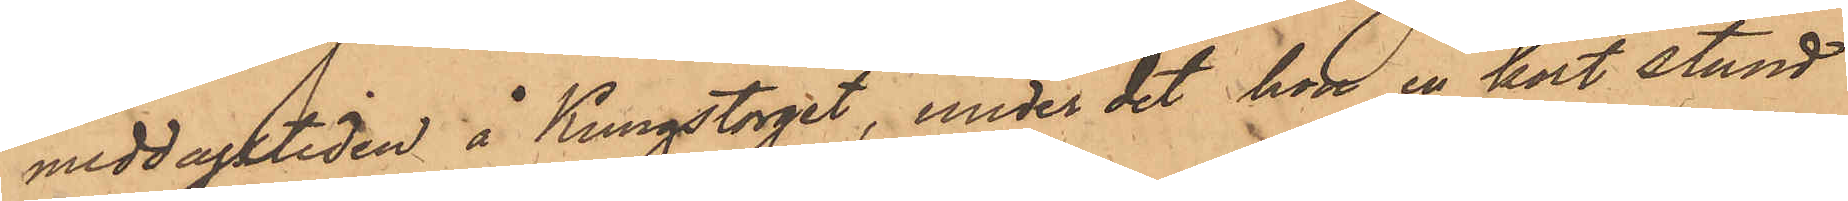middagstiden å Kungstorget, under det hon en kort stund
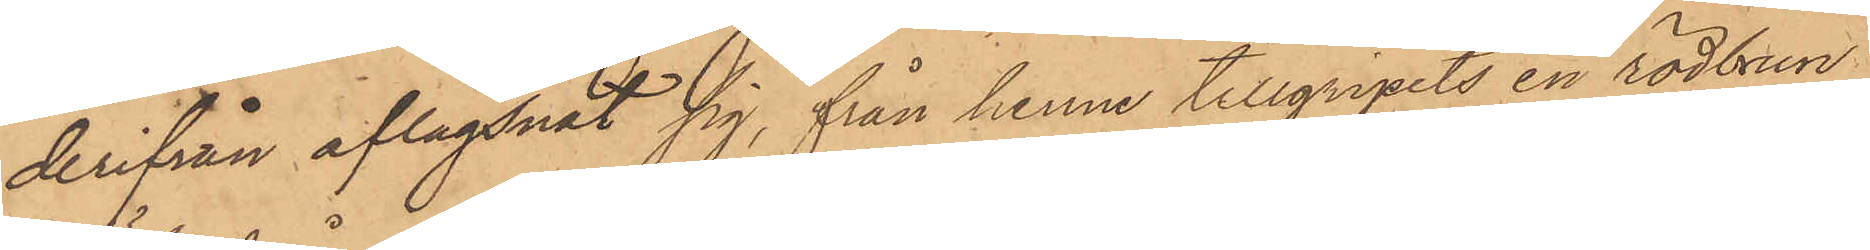derifrån aflägsnat sig, från henne tillgripits en rödbrun
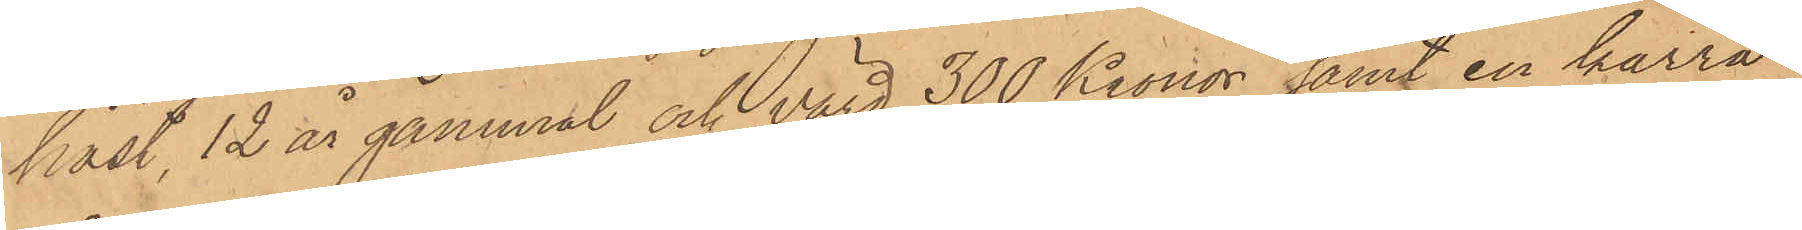häst, 12 år gammal och värd 300 Kronor samt en kärra,
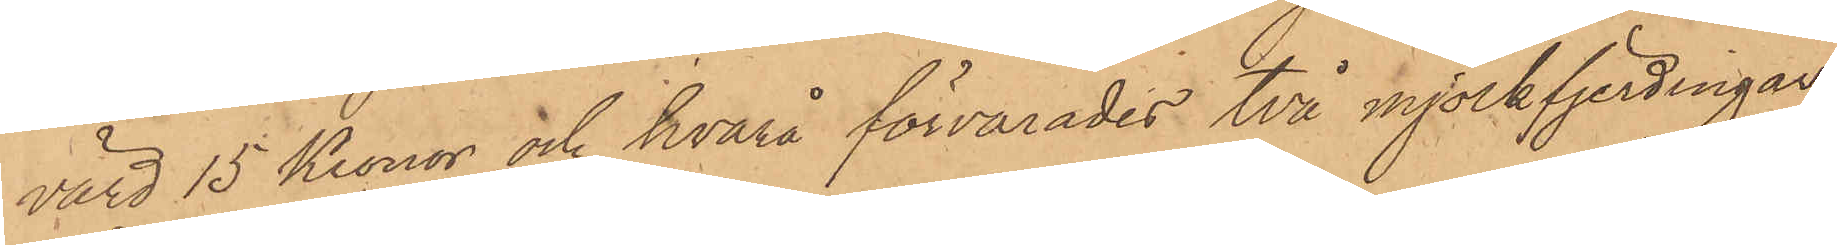värd 15 Kronor och hvarå förvarades två mjölkfjerdingar
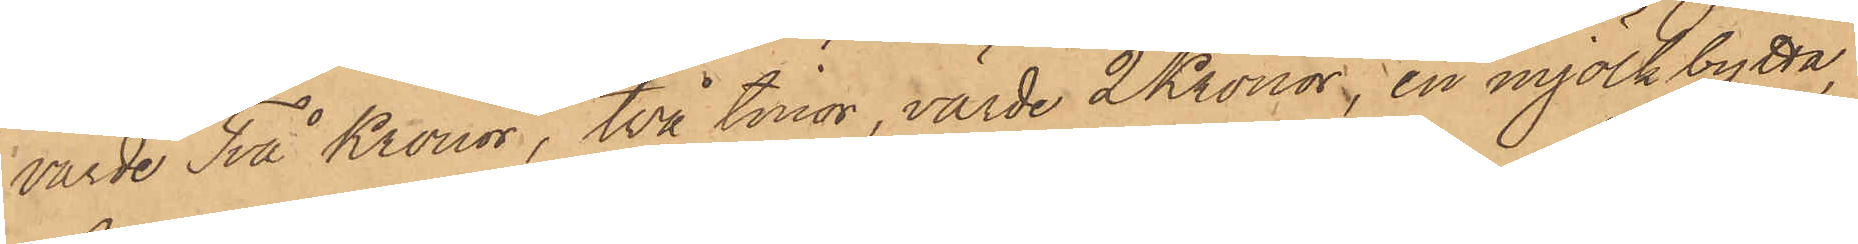värde Två Kronor, två tinor, värde 2 Kronor, en mjölkbytta,
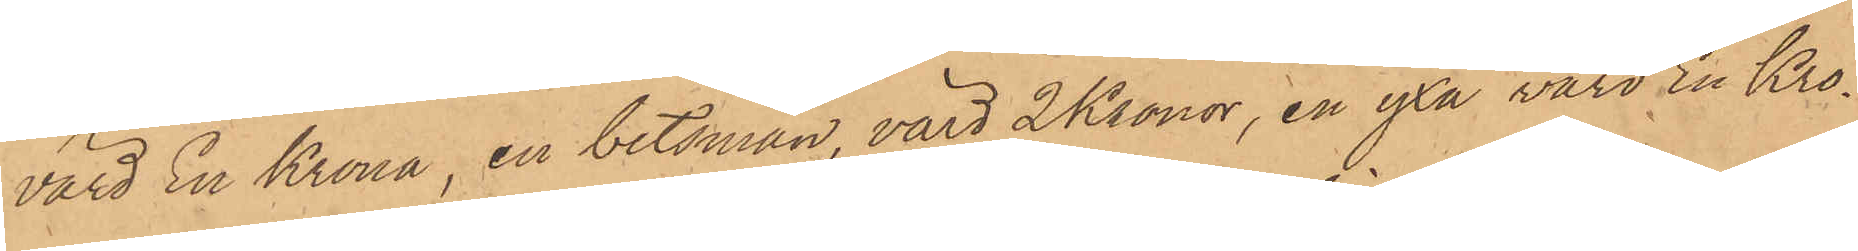värd En Krona, en betsman, värd 2 Kronor, en yxa värd En Kro¬
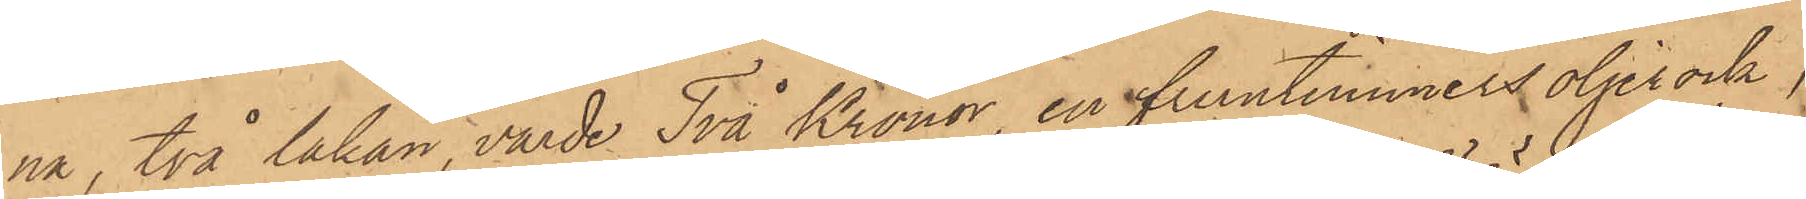na, två lakan, värde Två Kronor, en fruntimmersoljerock,
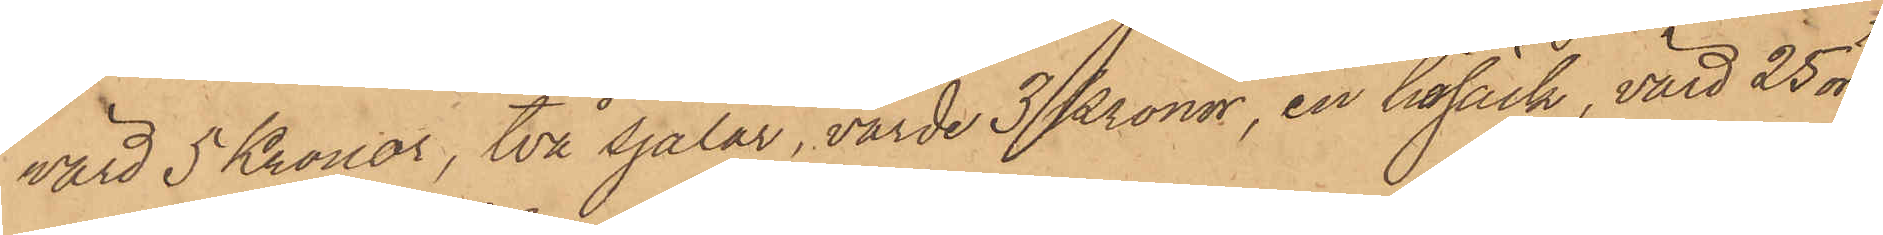värd 5 Kronor, två sjalar, värde 3 Kronor, en hösäck, värd 25 öre
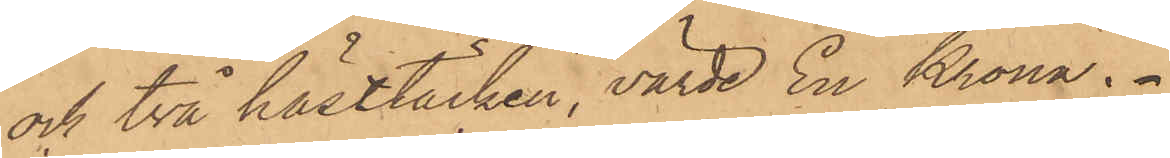och två hästtäcken, värde En Krona.
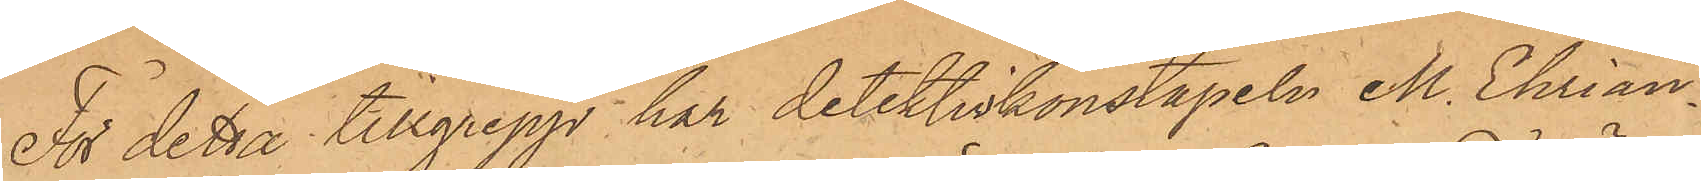För detta tillgrepp har detektivkonstapeln M. Ehrian¬
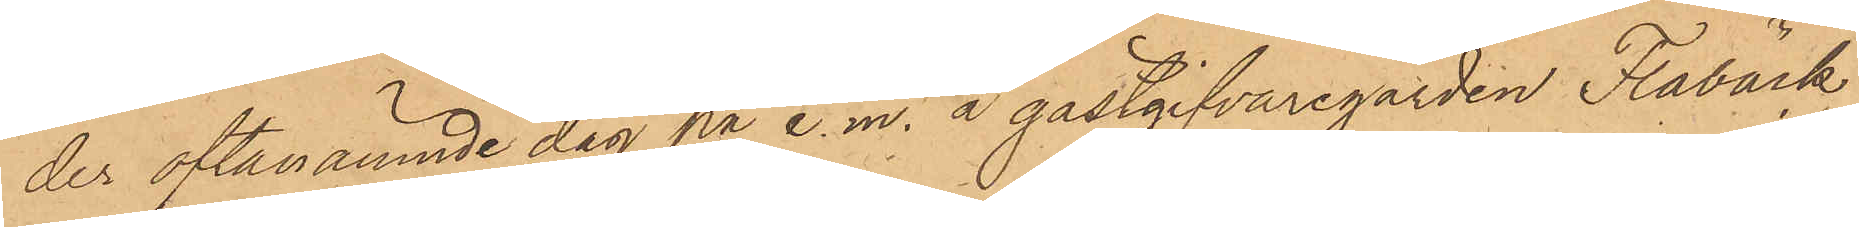der oftanämnde dag på e. m. å gästgifvaregården Flabäck
